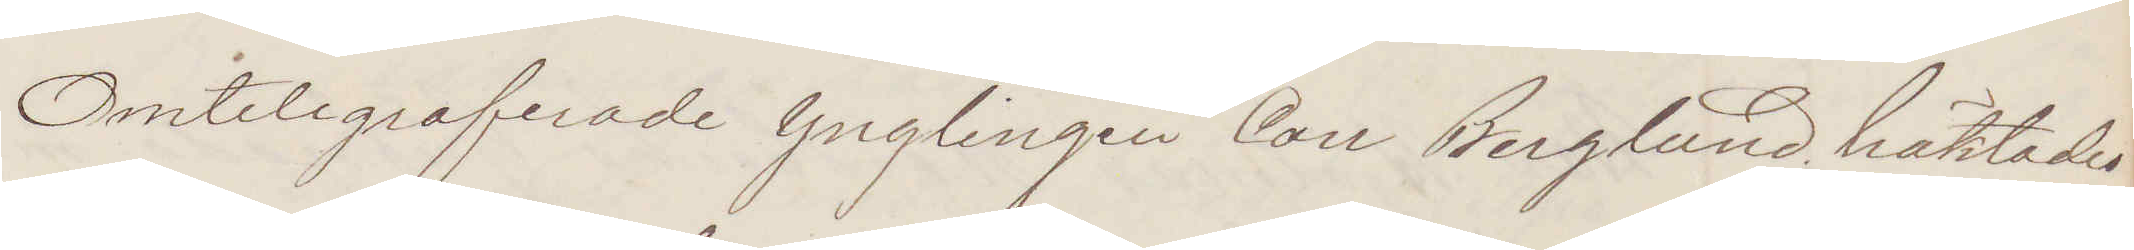Omtelegraferade Ynglingen Carl Berglund häktades
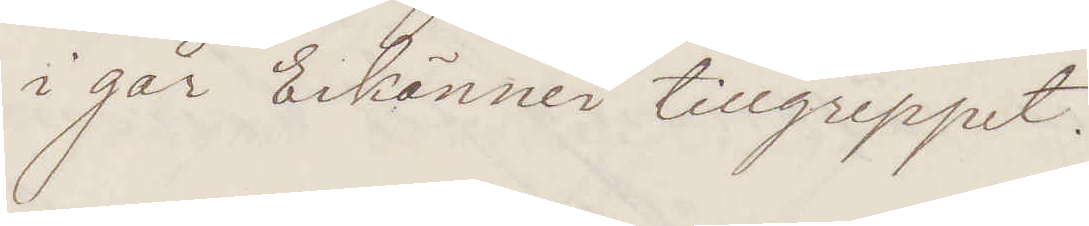i går Erkänner tillgreppet.
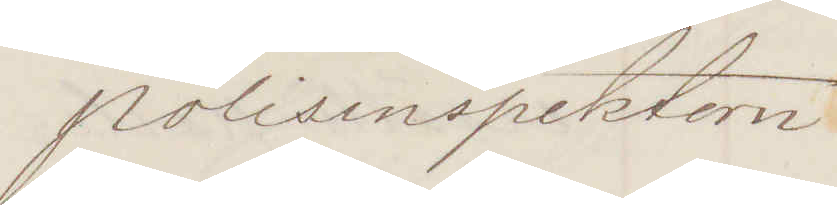Polisinspektorn
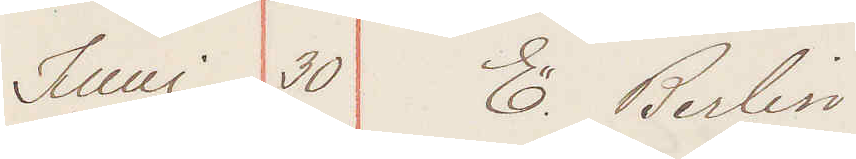Juni 30 E Berlin
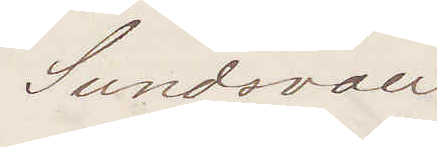Sundsvall:
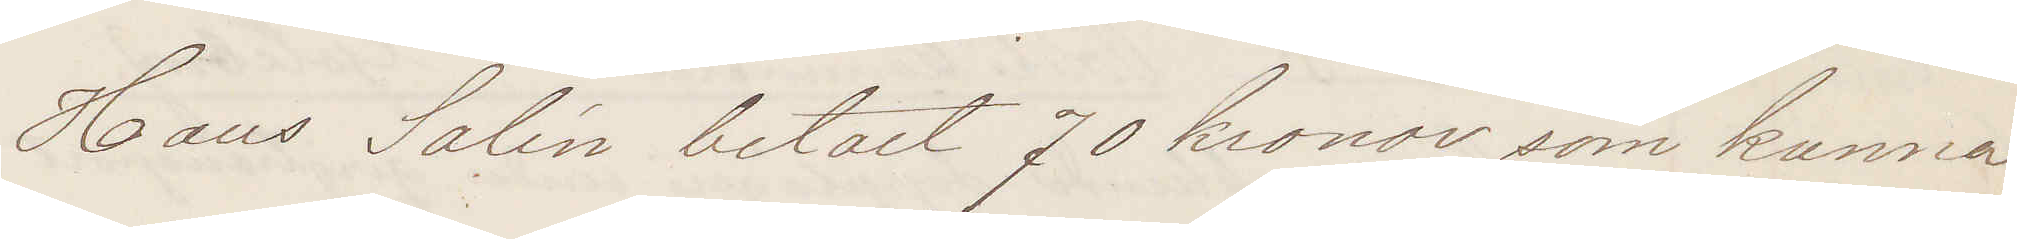Hans Salin betalt 70 kronor, som kunna
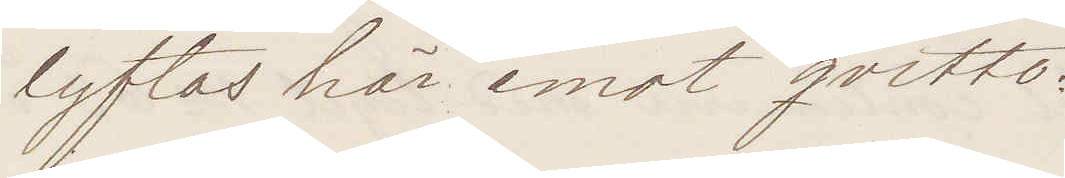lyftas här mot qvitto.
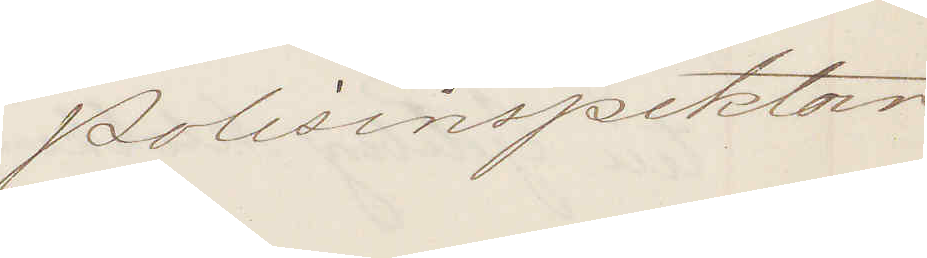Polisinspektorn
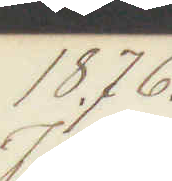1876.
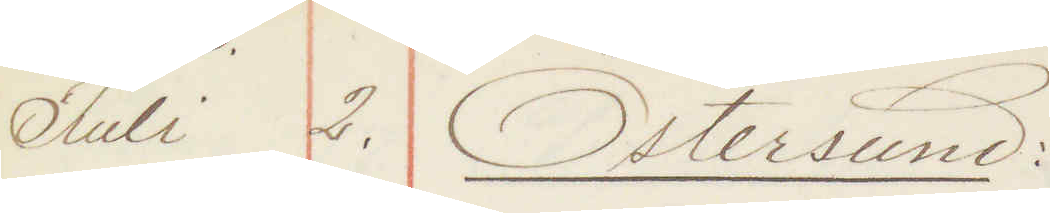Juli 2. Östersund
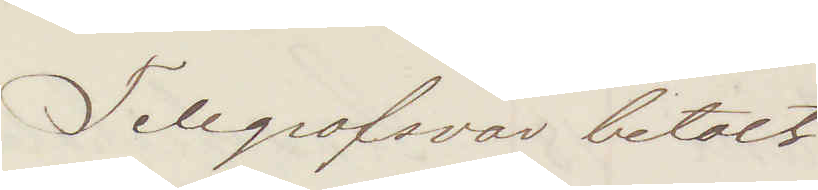Telegrafsvar betalt
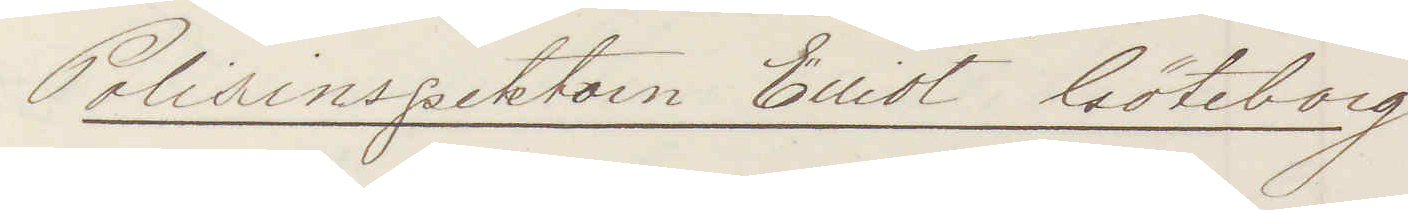Polisinspektorn Elliot Göteborg.
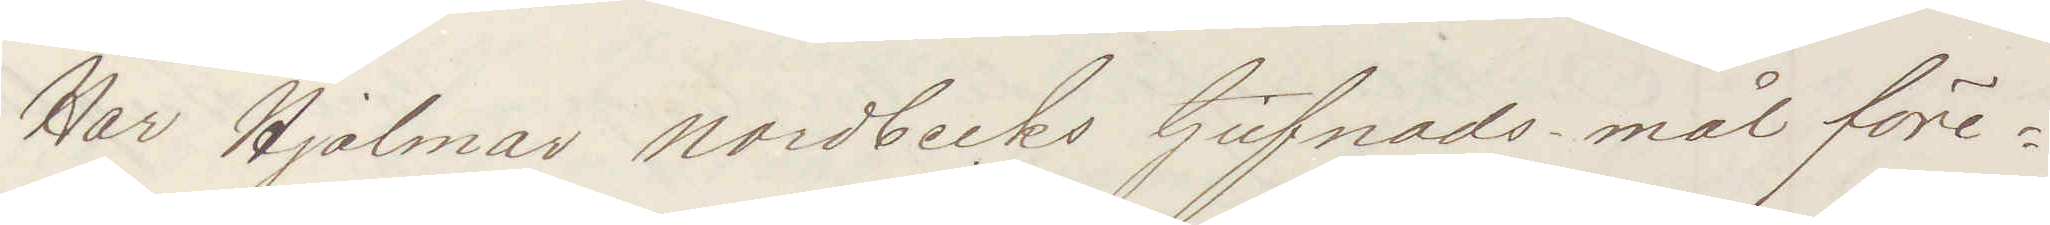Har Hjalmar Nordbecks tjufnads-mål före¬
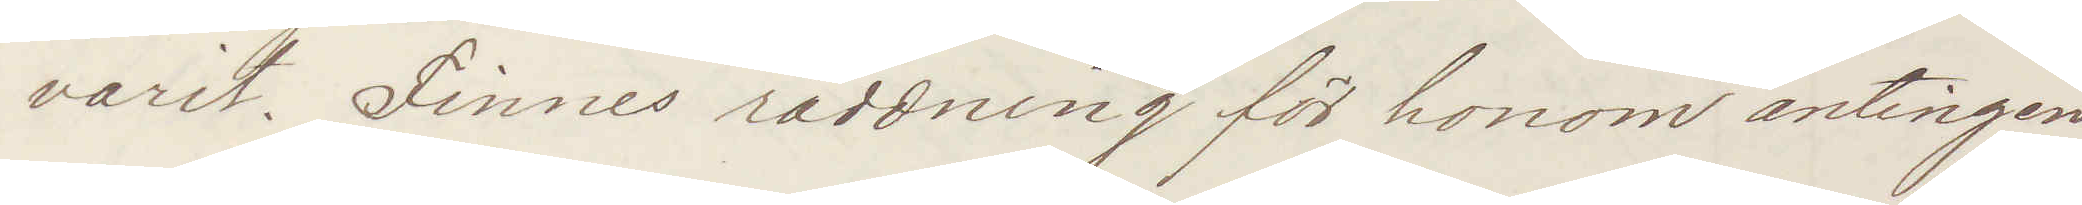varit. Finnes räddning för honom antingen
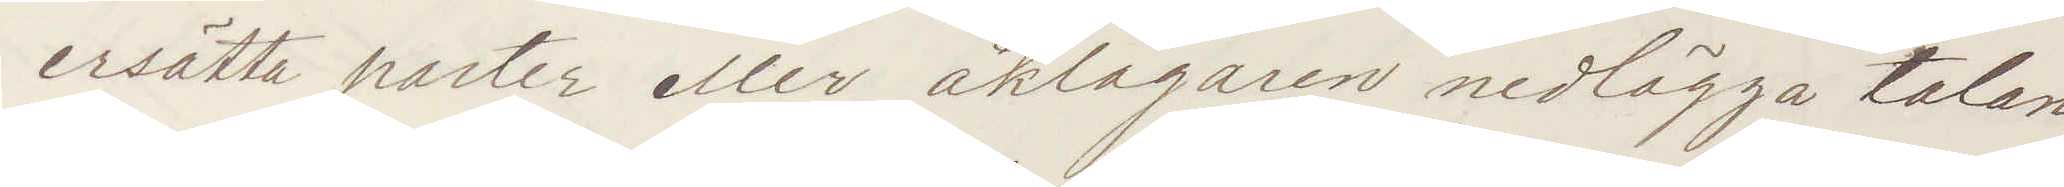ersätta parter eller åklagaren nedlägga talan.
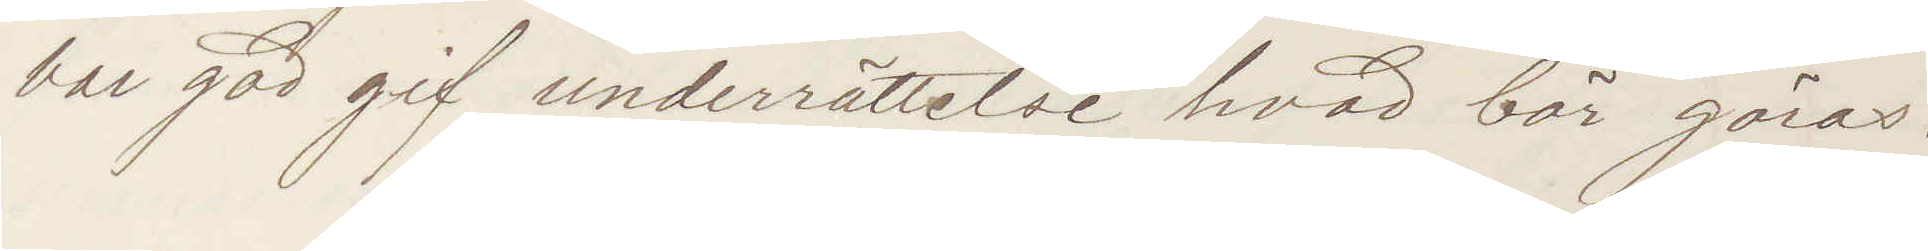Var god gif underrättelse hvad bör göras:
